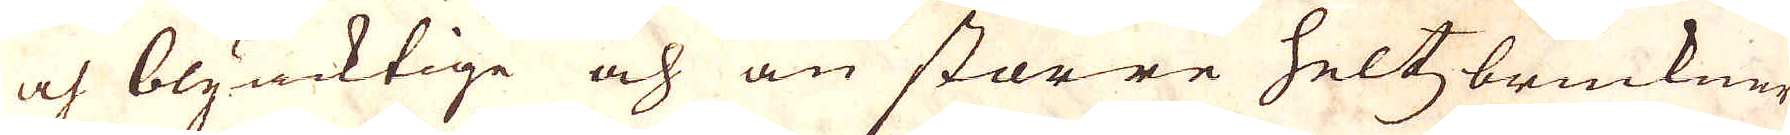och blyacktige och än större Heltzbruckner
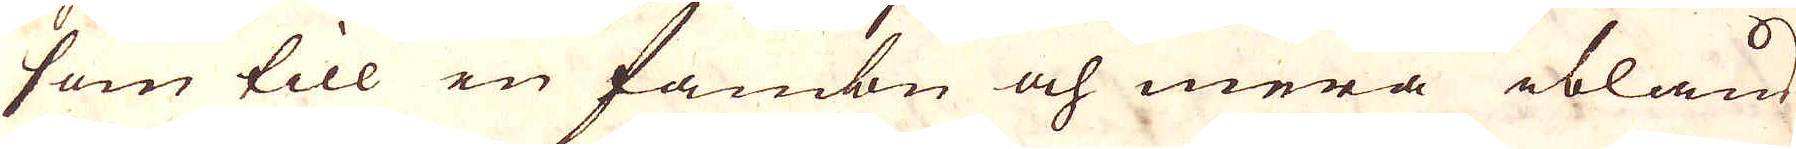som till en fambn och mera ibland
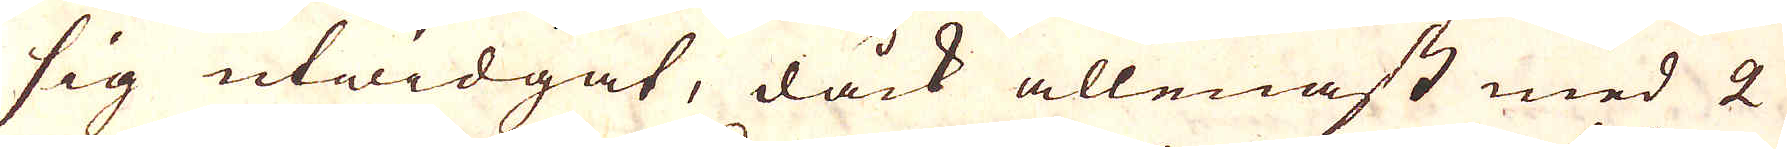sig utwidgat, dåck allenast med 2
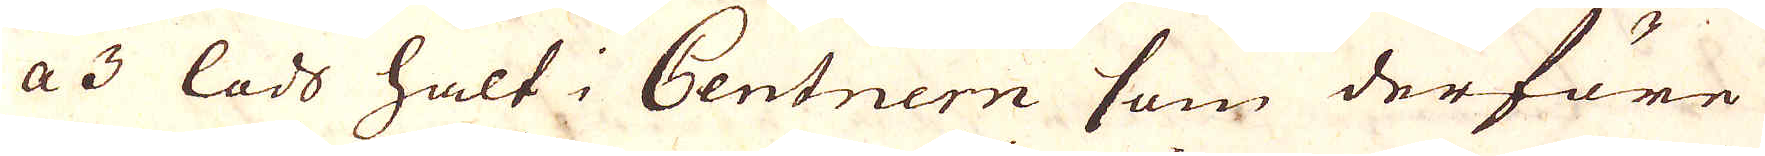a 3 lodt halt i Centnern som derföre
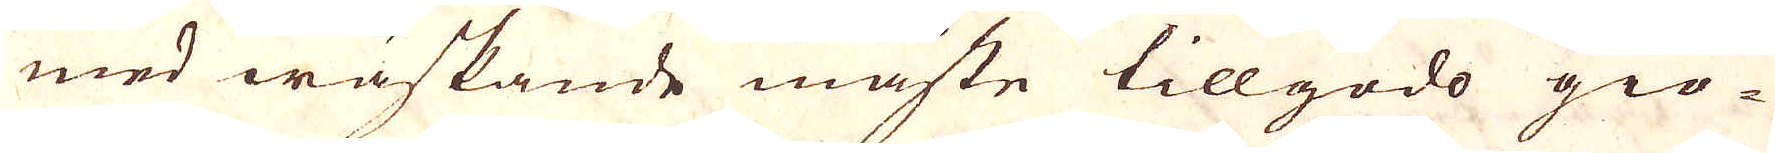med wäskande måste tillgodo giö-
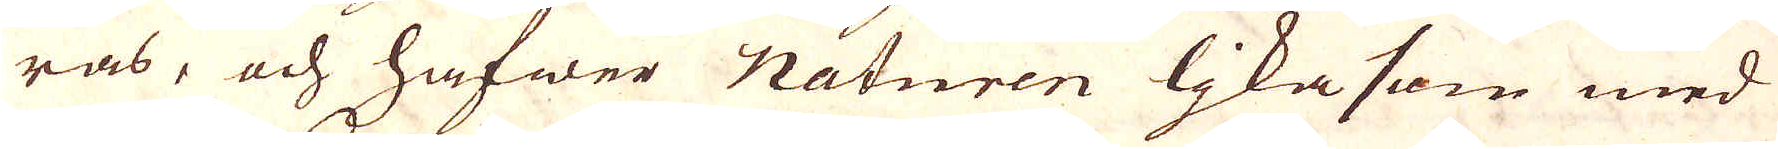ras, och hafwer Naturen lika som med
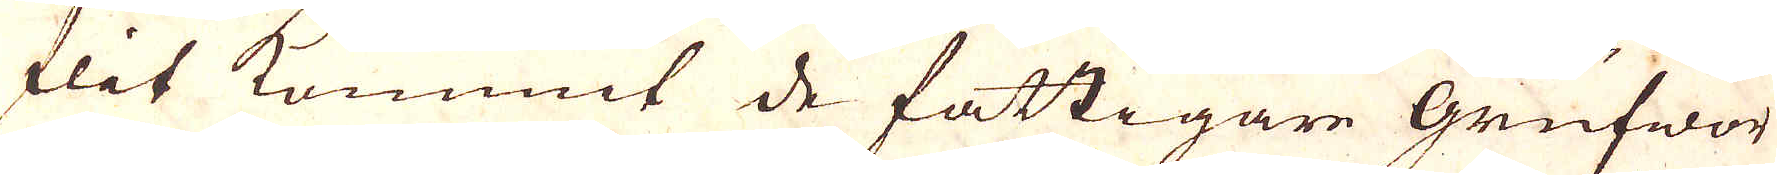flit kommit de fattigare grufwor
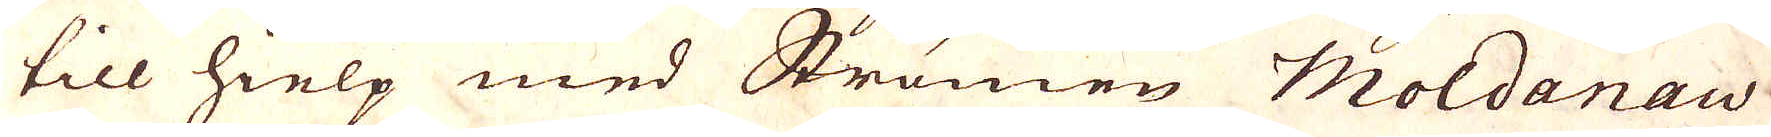till hielp med Strömen Moldanau
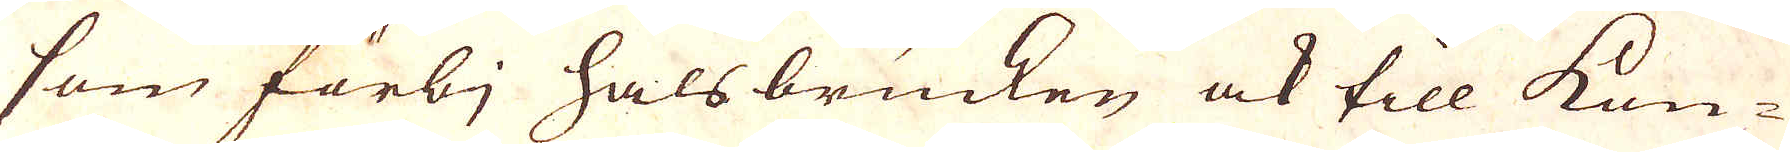som förbj halsbrucken ock till kon-
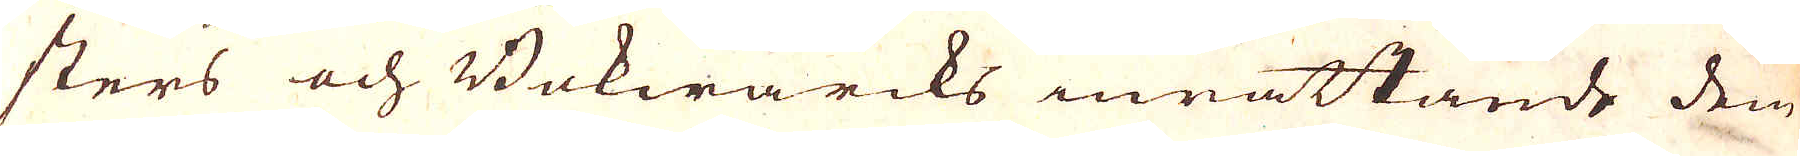sters och Bokwärcks inrättande dem
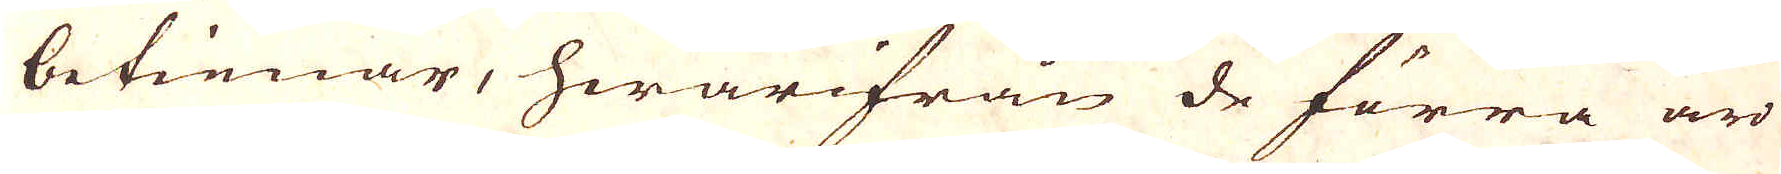betienar, hwarifrån de förra äro
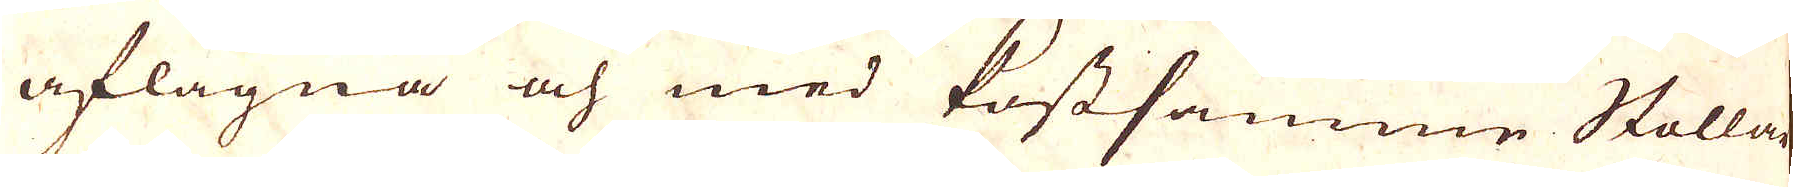aflägna och med kostsamme Stollar
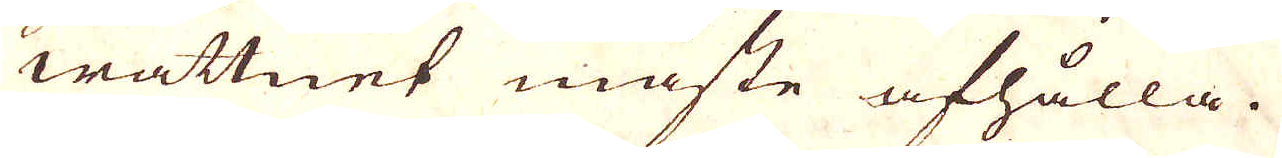wattnet måste afhålla.
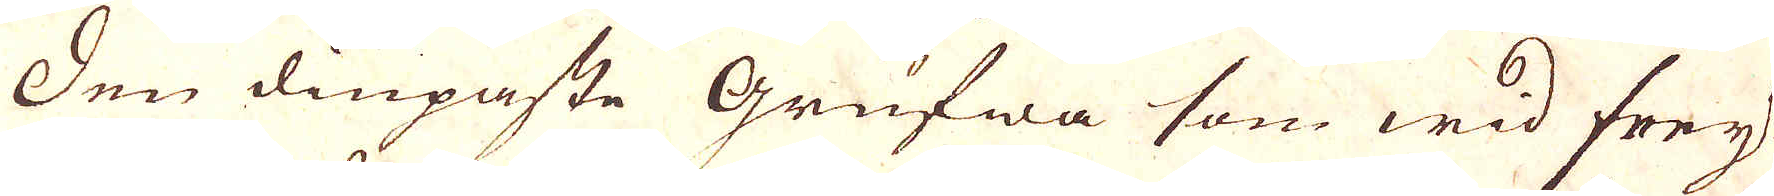Den diupaste grufwa som wid frey-
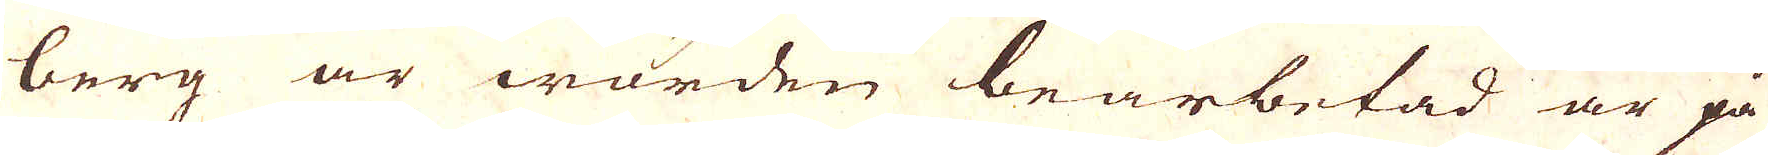berg är warden bearbetad är på
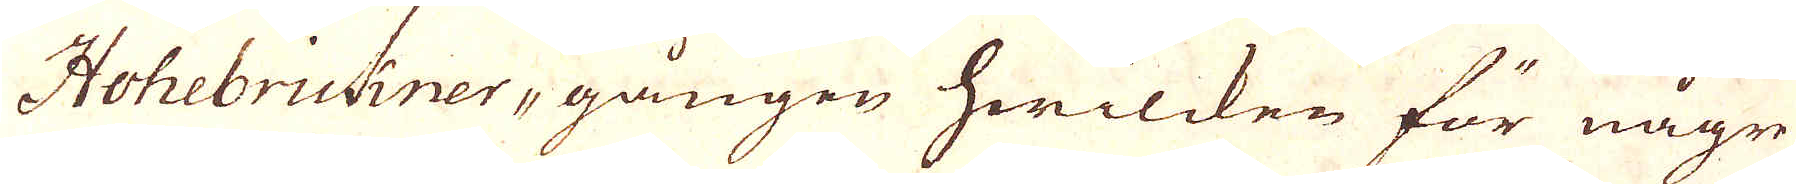Hohebrickner-gången hwilcken för någre
